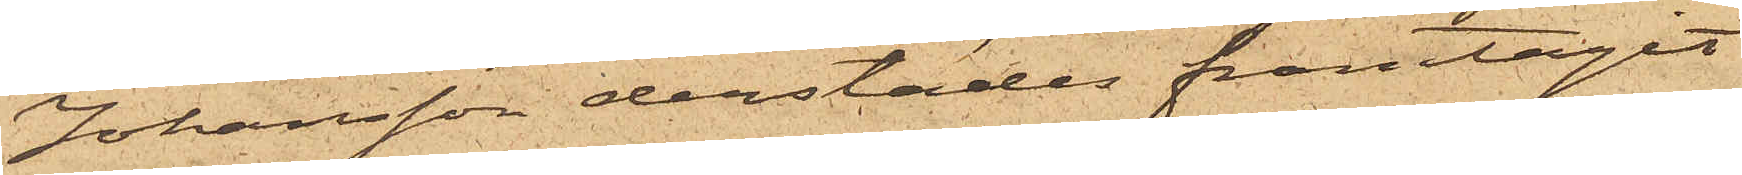Johansson derstädes framtagit
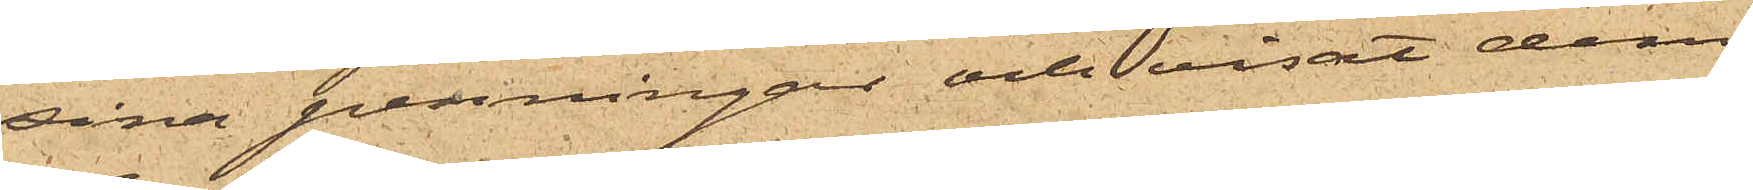sina penningar och visat dem
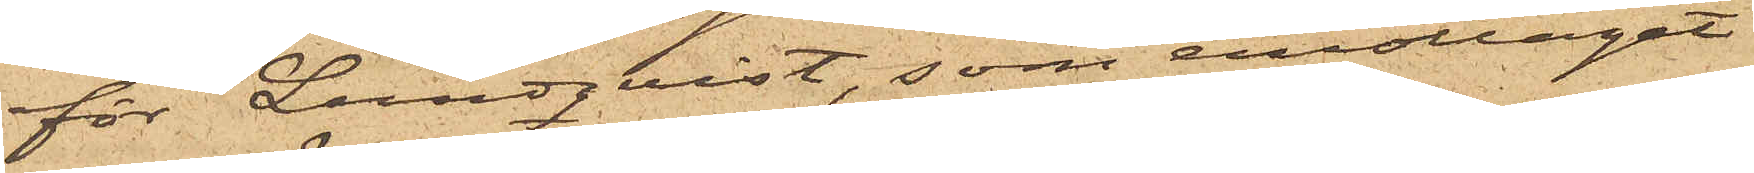för Lundqvist, som emottagit
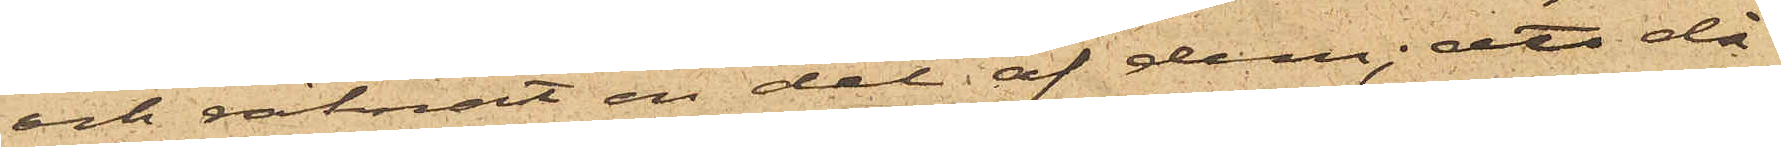och räknat en del af dem; att då
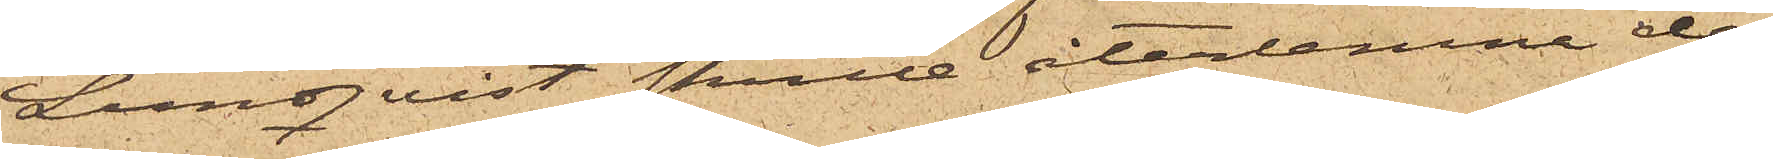Lundqvist skulle återlemna de
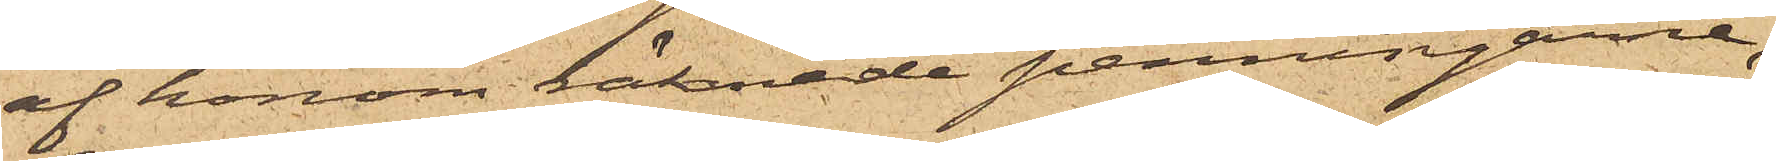af honom räknade penningarne,
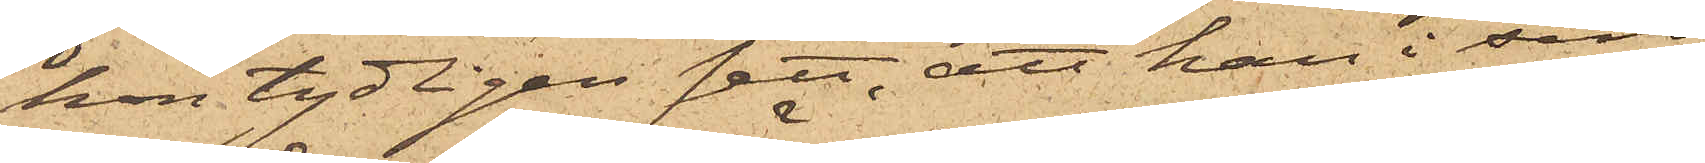hon tydligen sett, att han i sin
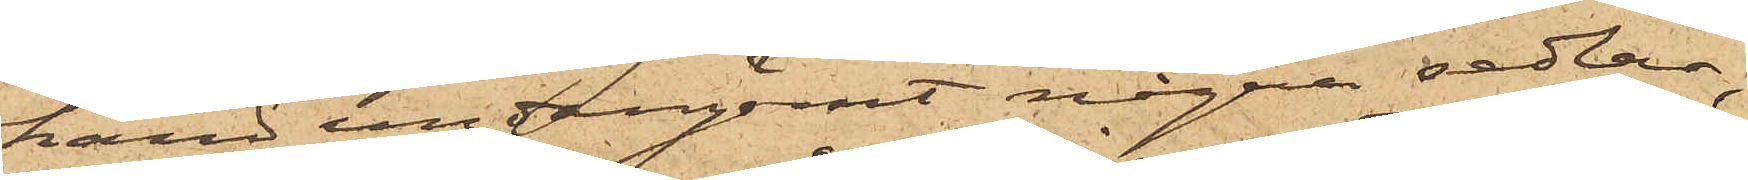hand undangömt några sedlar,
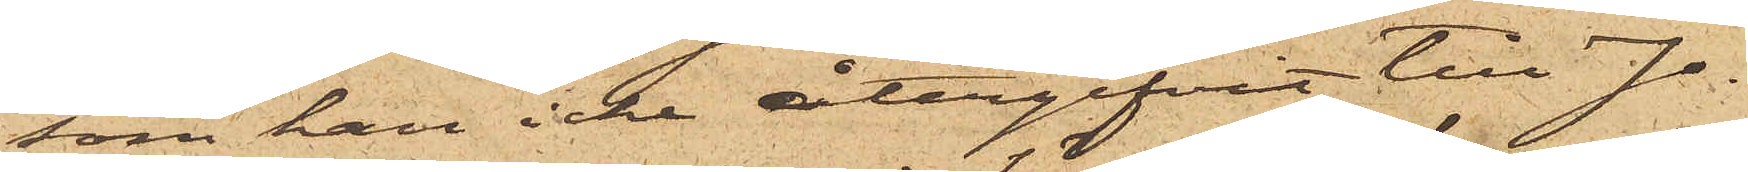som han icke återgifvit till Jo¬
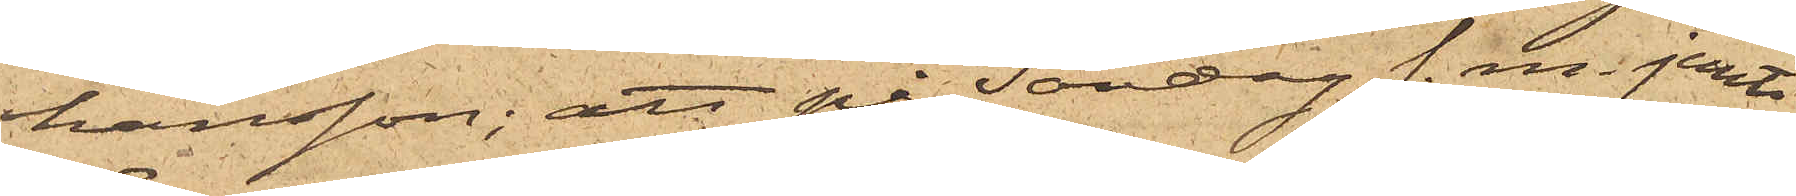hansson; att på Söndag f. m. jemte
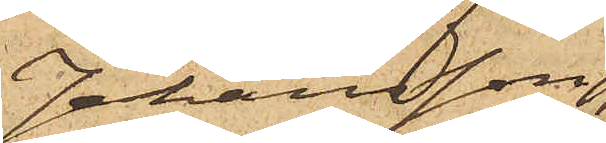Johansson,
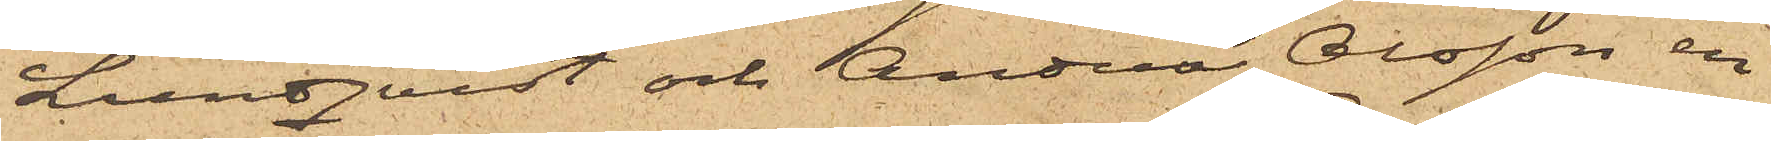Lundqvist och Anders Olsson en
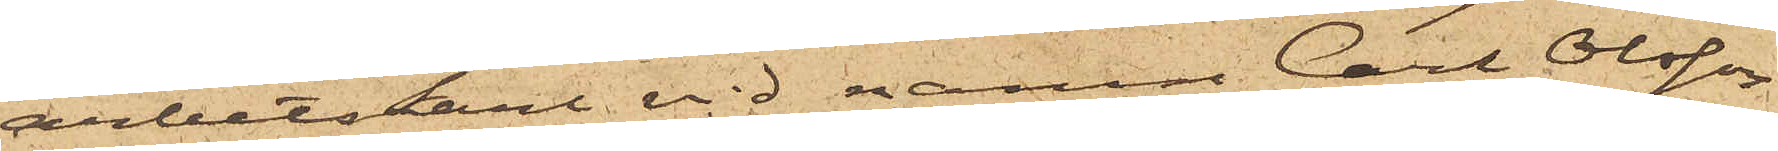arbetskarl vid namn Carl Olsson
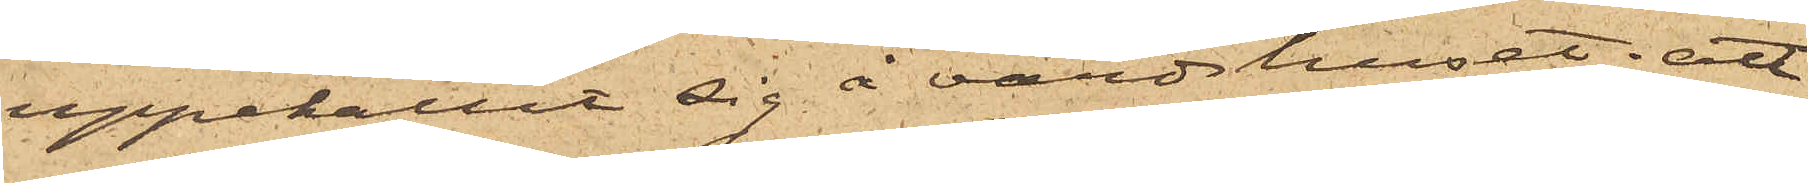uppehållit sig å värdshuset; att
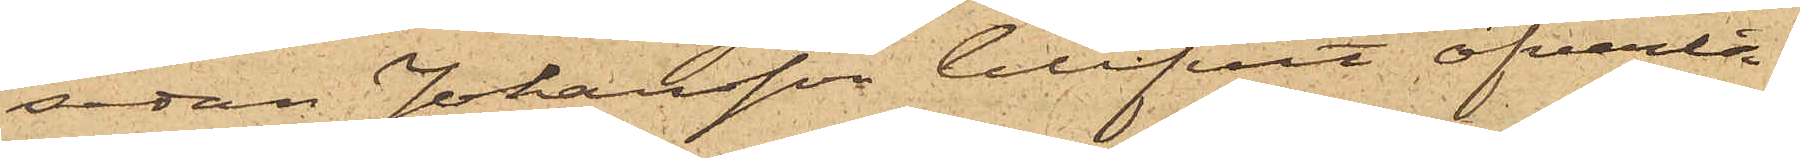sedan Johansson blifvit öfverla¬
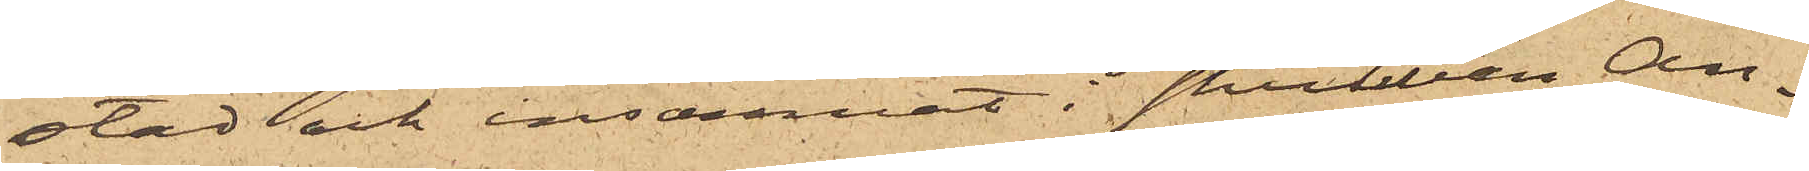stad och insomnat i skrubben An¬
